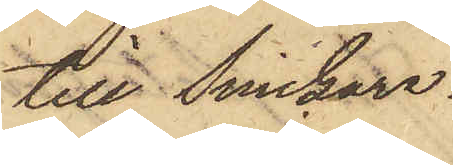till Snickare¬
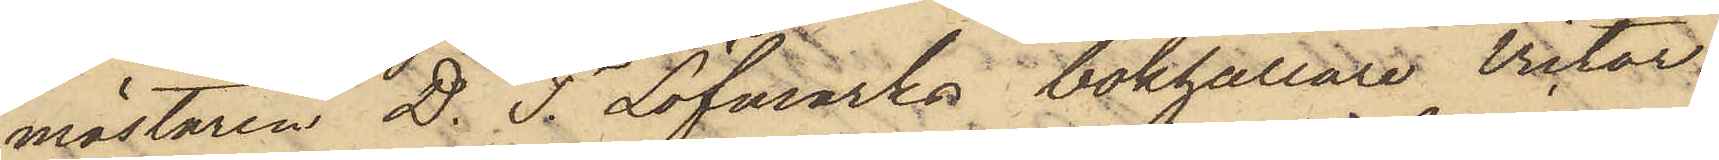mästaren D. T. Löfmarks bokhållare Victor
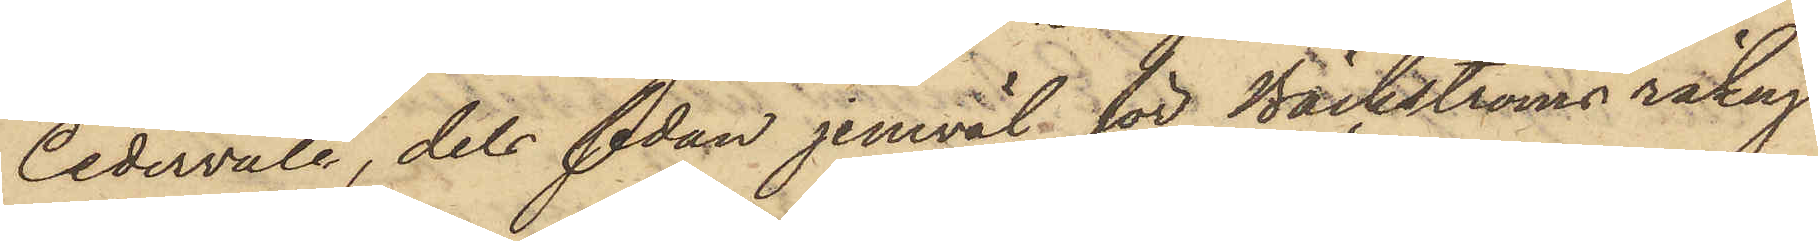Cedervall, dels sedan jemväl för Bäckströms räkng
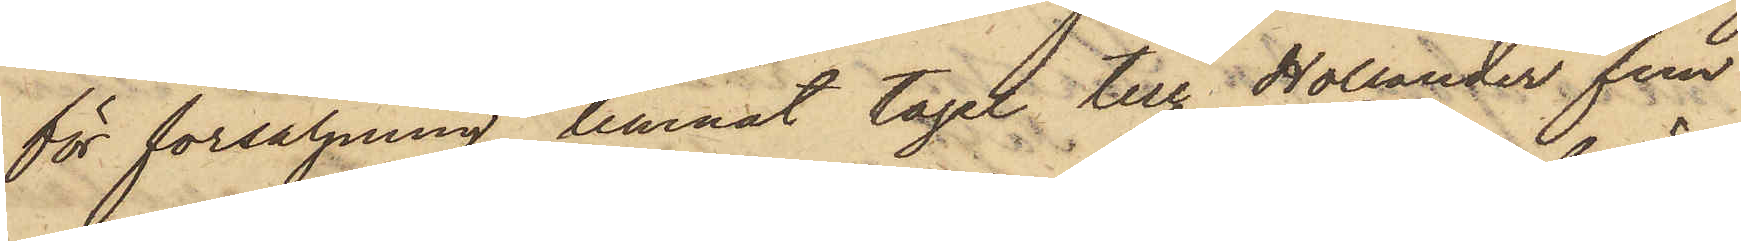för försäljning lemnat tagel till Hollander fem
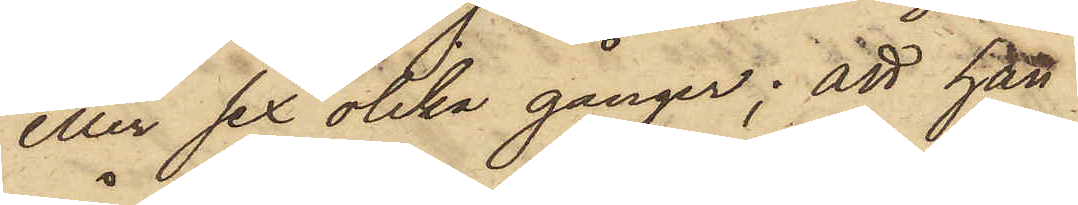eller sex olika gånger; att han
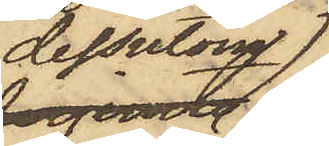dessutom
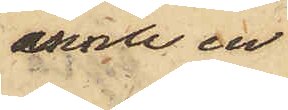ännu en
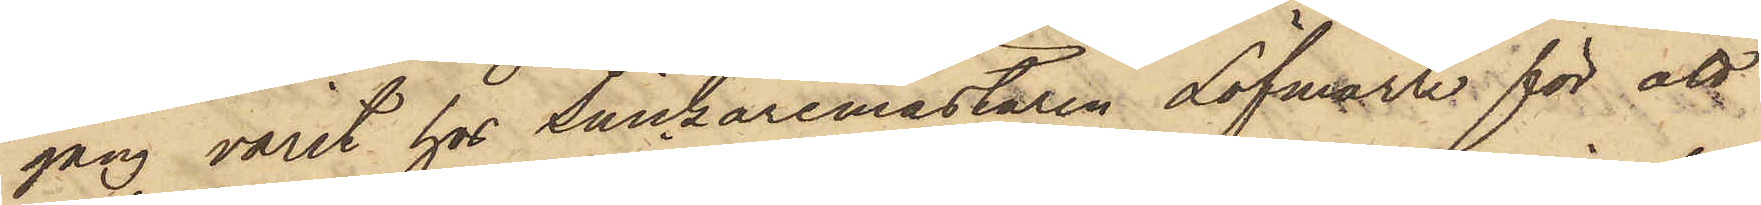gång varit hos Snickaremästaren Löfmark för att
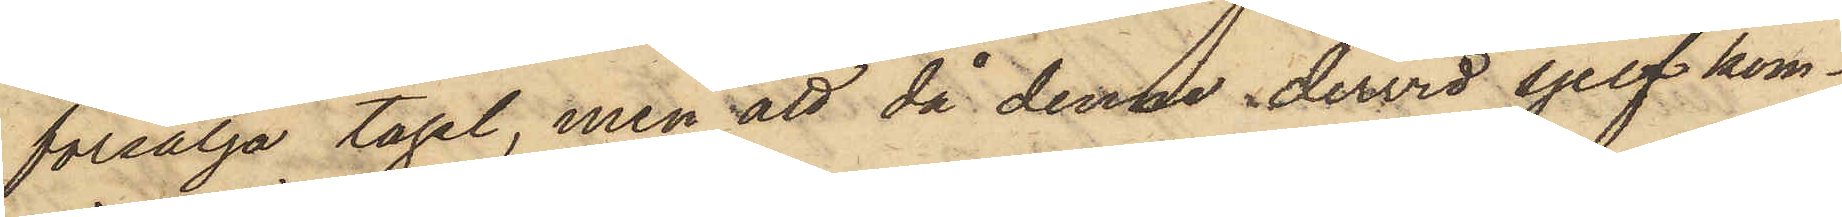försälja tagel, men att då denne dervid sjelf kom¬
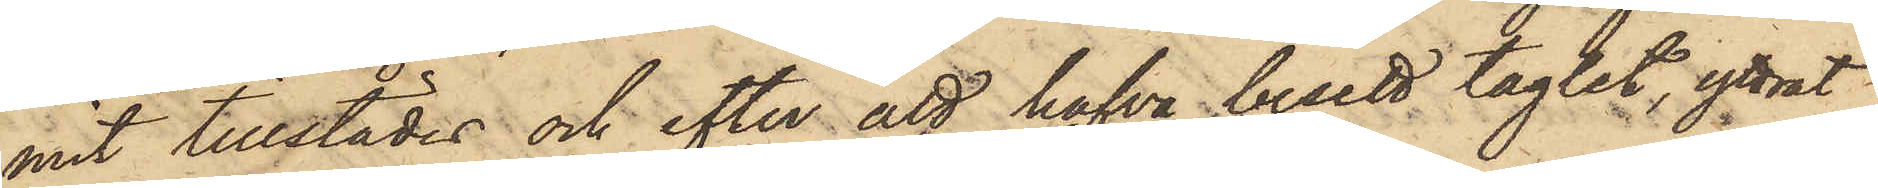mit tillstädes och efter att hafva besett taglet, yttrat
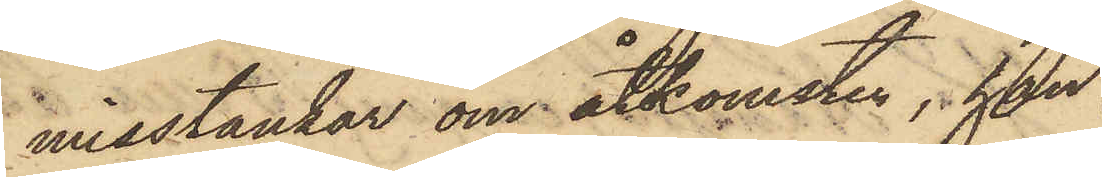misstankar om åtkomsten, han
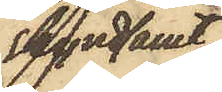skyndsamt
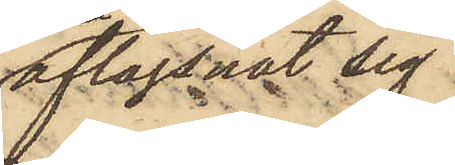aflägsnat sig
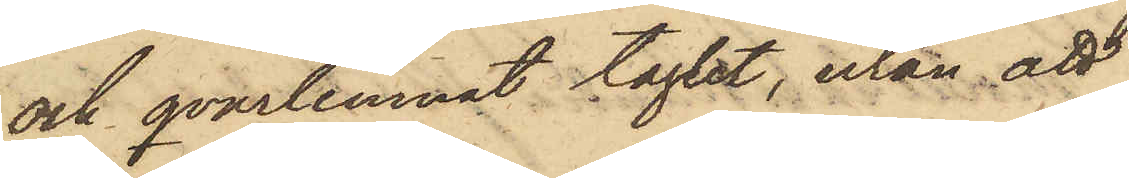och qvarlemnat taglet, utan att
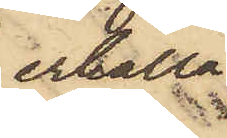erhålla
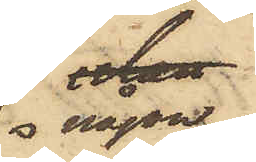någon
